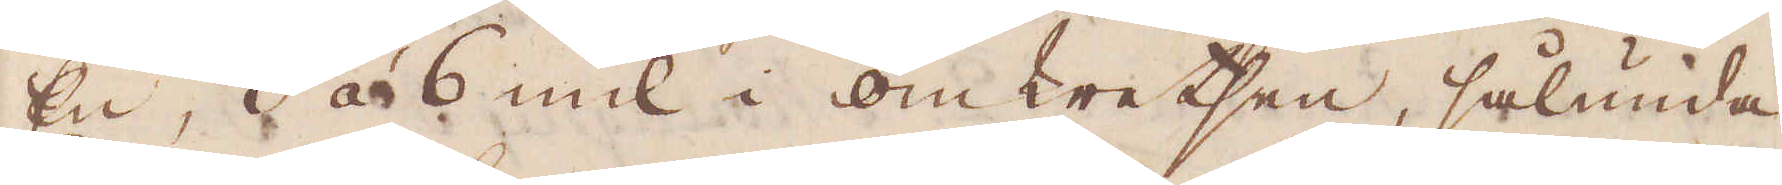En, 3 à 6 mil i omkretsen, sålunda
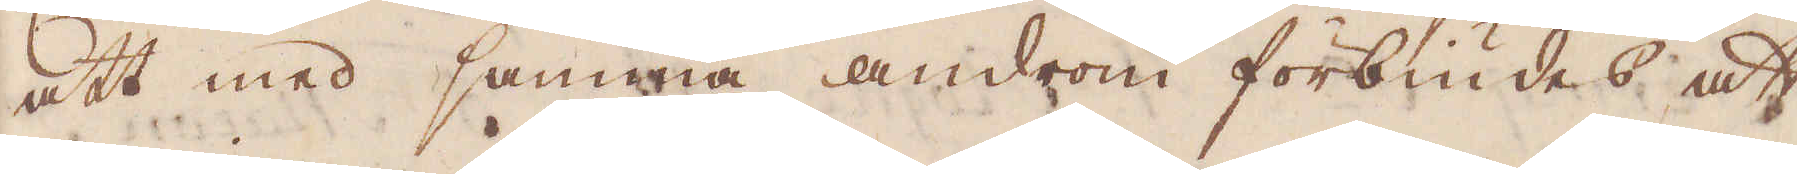att med samma androm börbiudes att
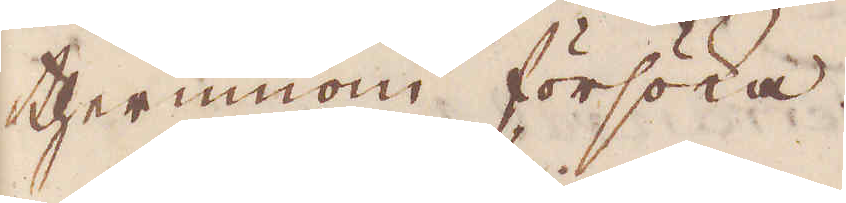therinnom försöka.
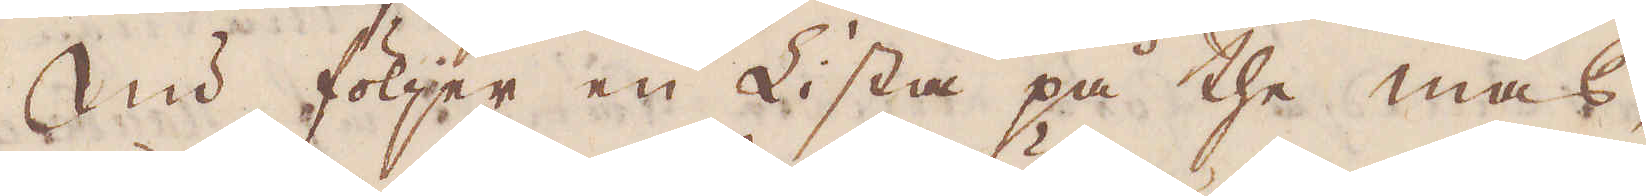Nu följer en Lista på the mas-
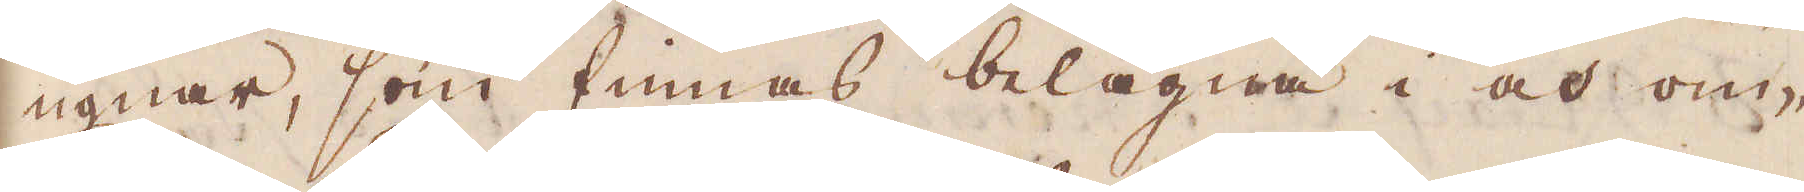ugnar, som finnas belägna i och om-
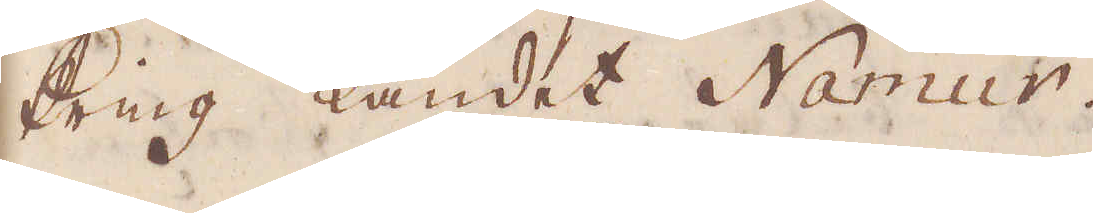kring Landet Namur.
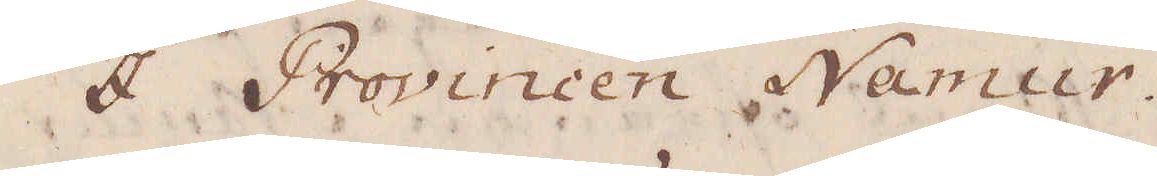I Provincen Namur.
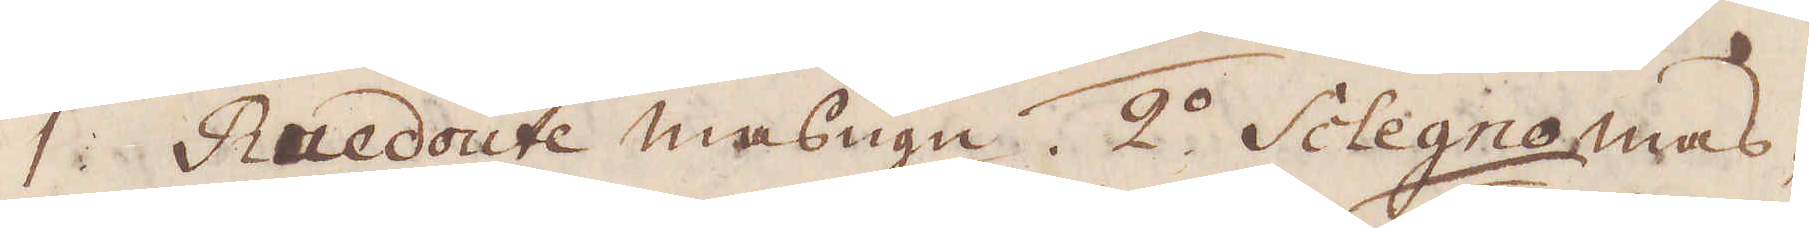1 Ruedoute masugn. 2:o Sclegno  mas-
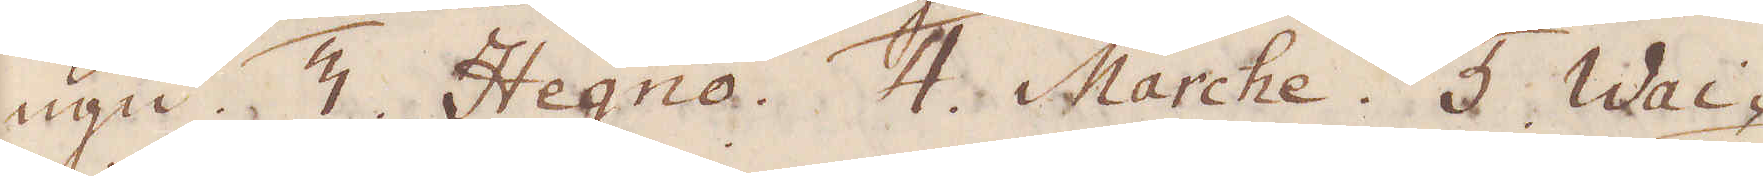ugn. 3 Hagno. 4. Marche. 5 Wai-
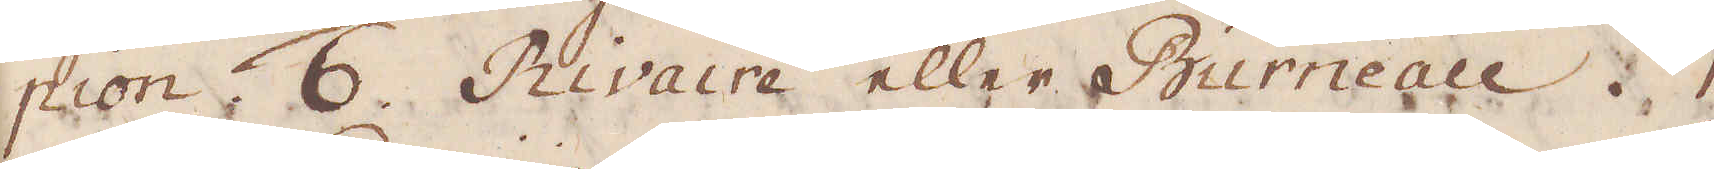pion. 6. Rivaire eller Burneau. 7
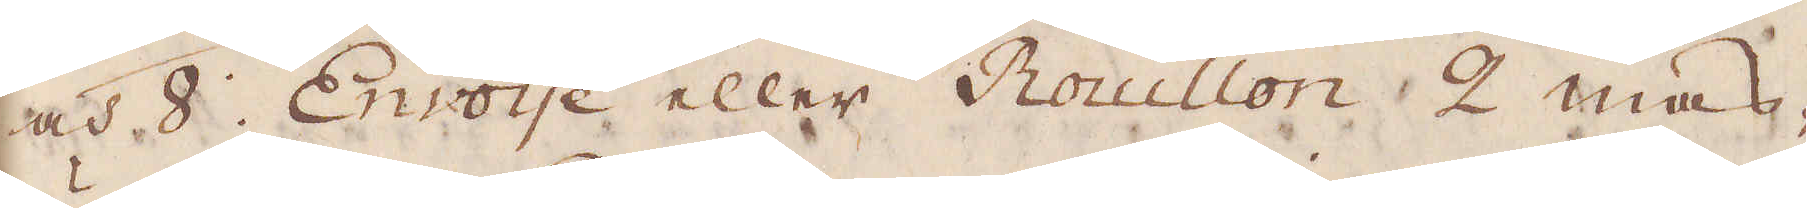och 8. Envoije eller Rouillon 2 mas-
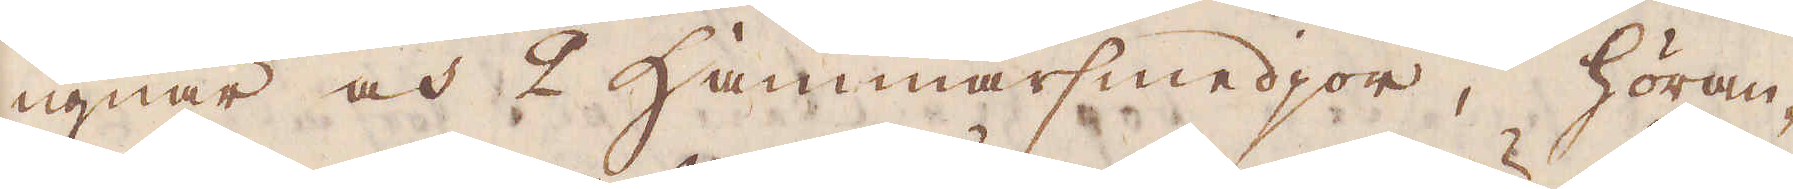ugnar och 2 hammarsmedjor, höran-
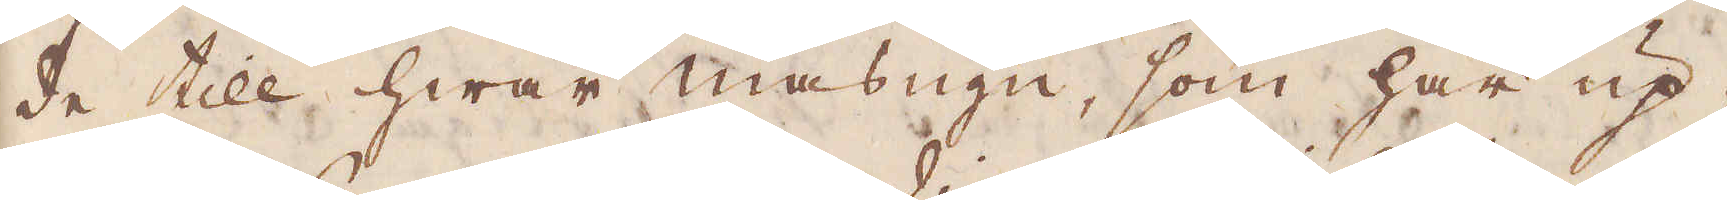de till hwar masugn, som här up-
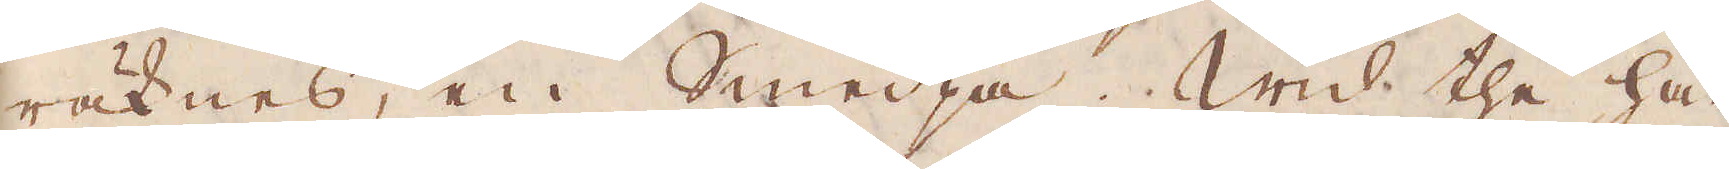räknas, en smedja. Wid the här
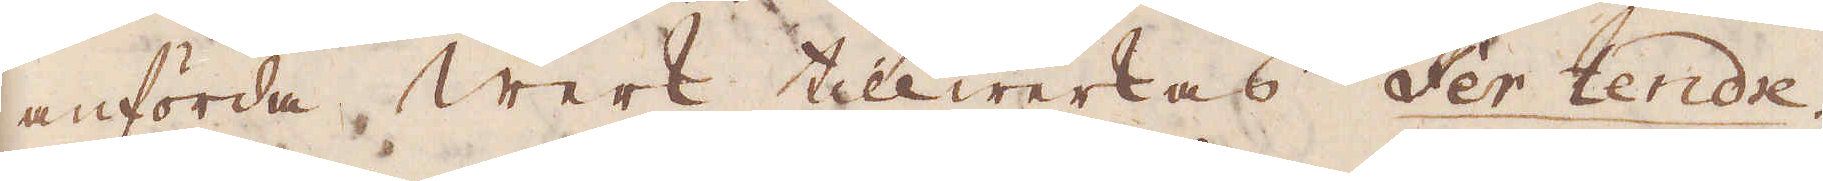anförda werk tillwerkas fer tendre.
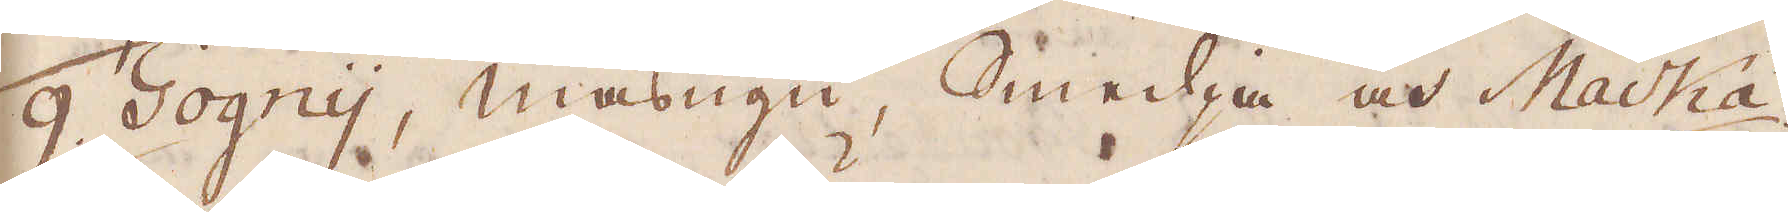9. Gognij, masugn, Smedja och Macká.
